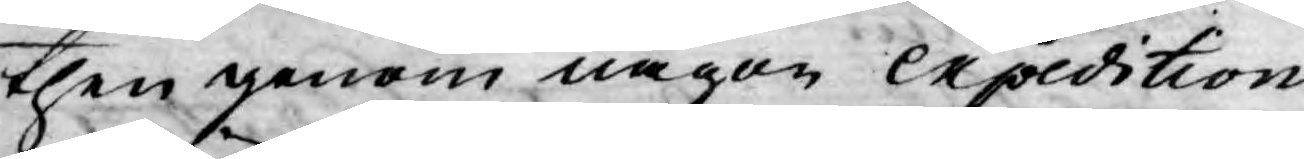then genom någon expedition
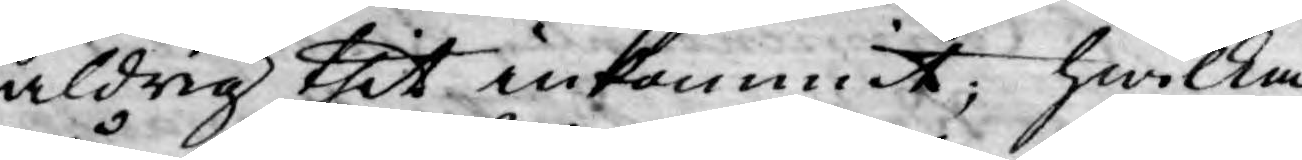aldrig thit inkommit; hwilka
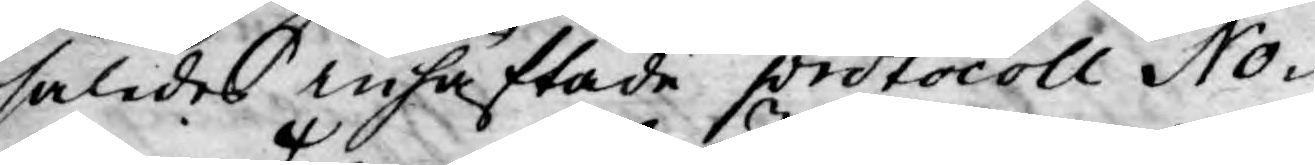således inhäftade protocoll No¬
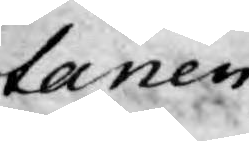tarien
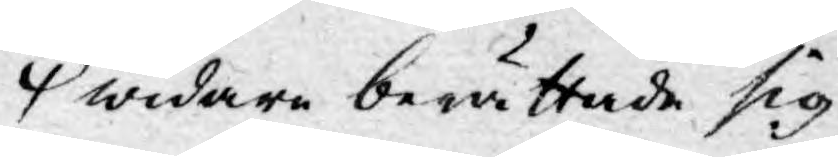widare berättade sig
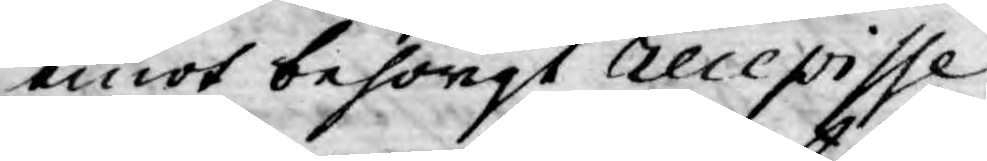emot behörigt recepisse
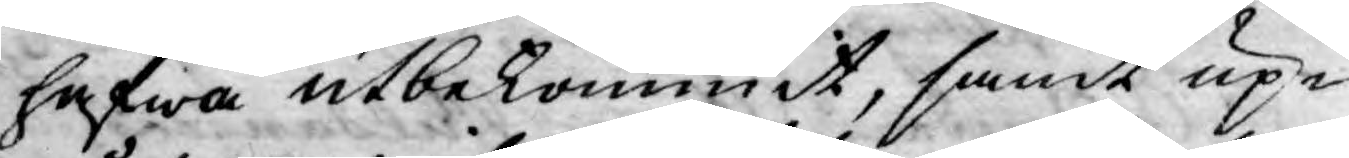hafwa utbekommit, samt up¬
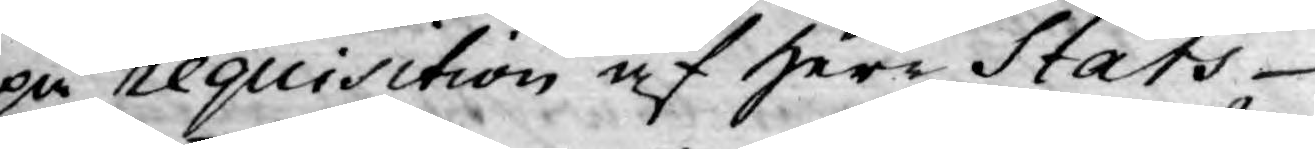på requisition af Herr Stats¬
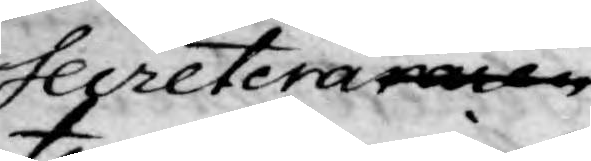Secreteraraenren
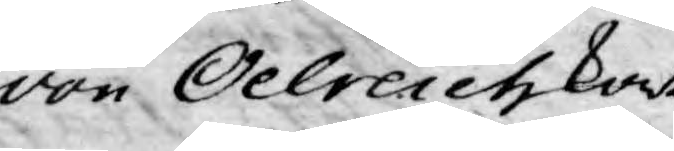von Oelreich kort
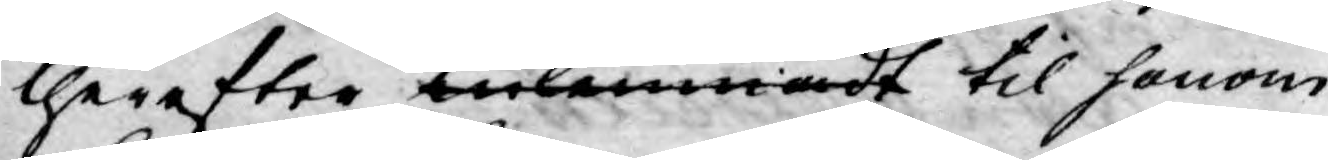therefter inlemmadt til honom
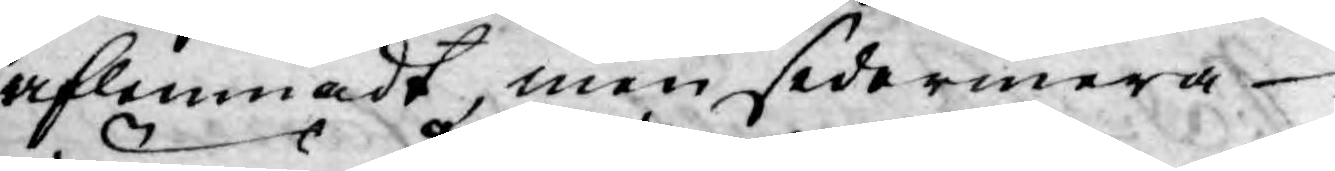aflemnadt, men sedermera
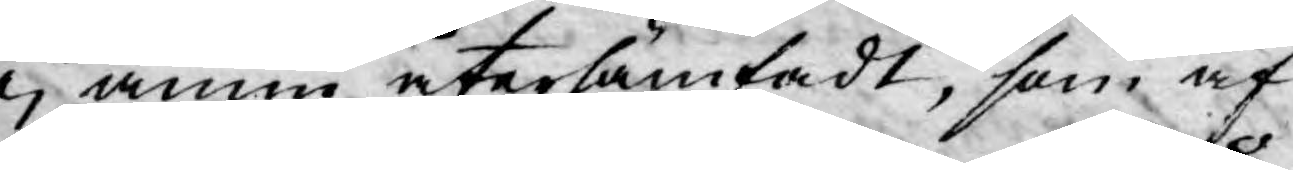ej ännu återhämtadt, som af
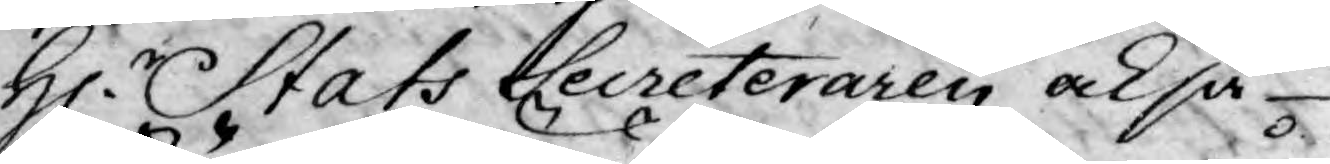H. Stats Secreteraren också
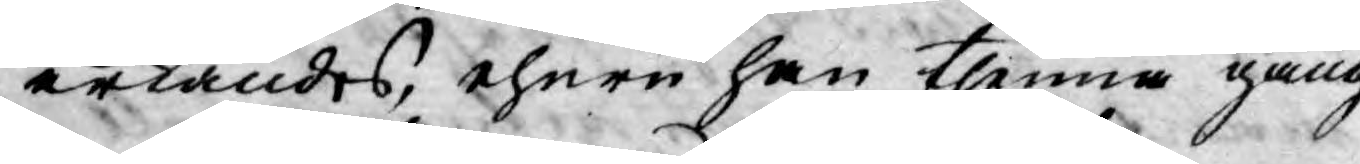erkändes, ehuru han thenna gång
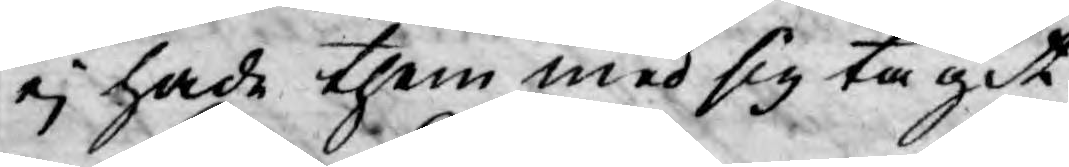ej hade them med sig tagit.
